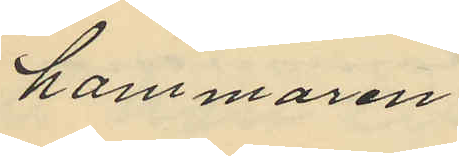hammaren
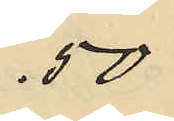.50
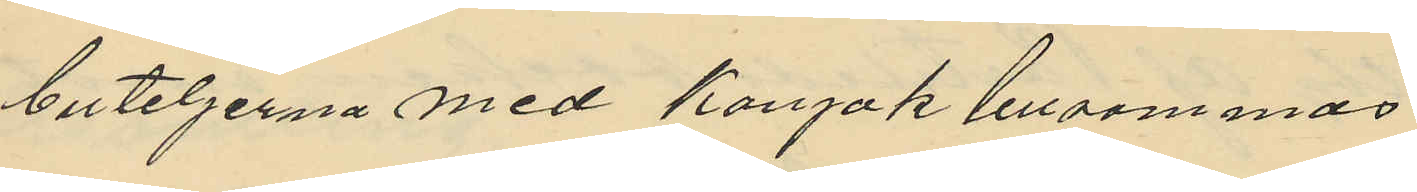buteljerna med Konjak tillsammas
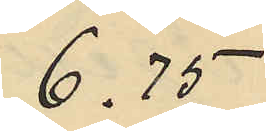6.75
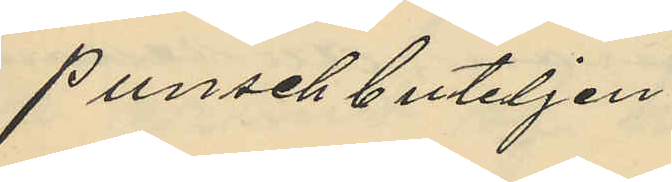Punschbuteljen
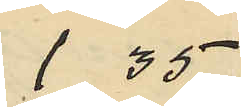1.35
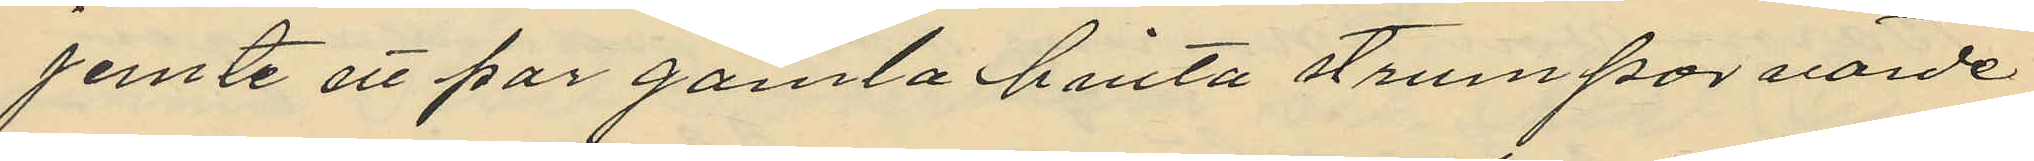jemte ett par gamla hinta strumpor värde
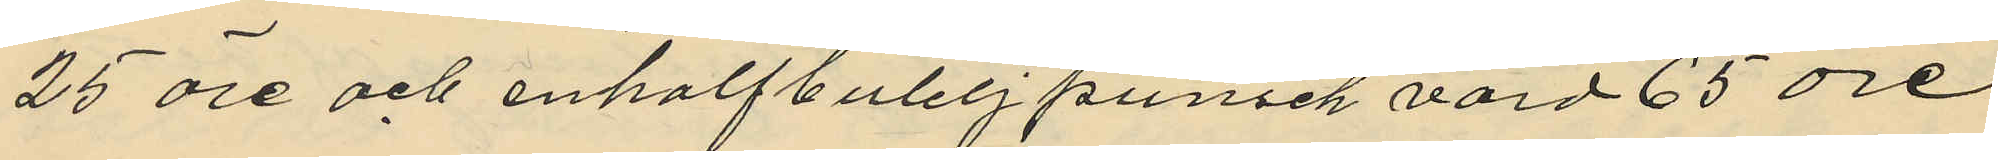25 öre och enhalfbutelj punsch värd 65 öre
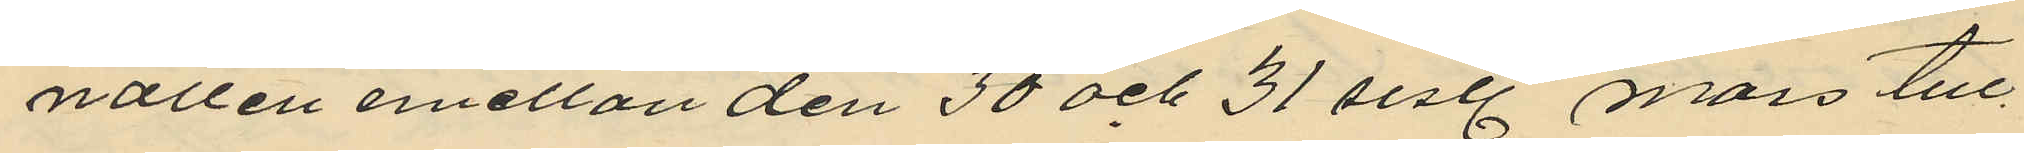natten emellan den 30 och 31 sist. mars till¬
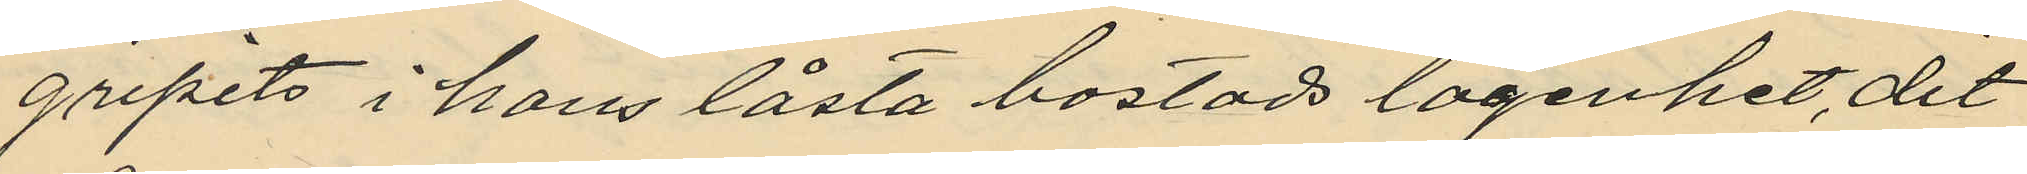gripits i hans låsta bostads lägenhet, dit
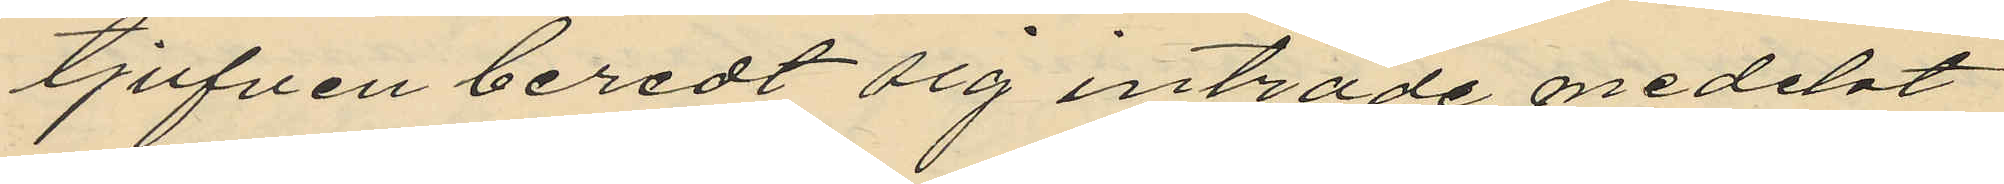tjufven beredt sig inträde medelst
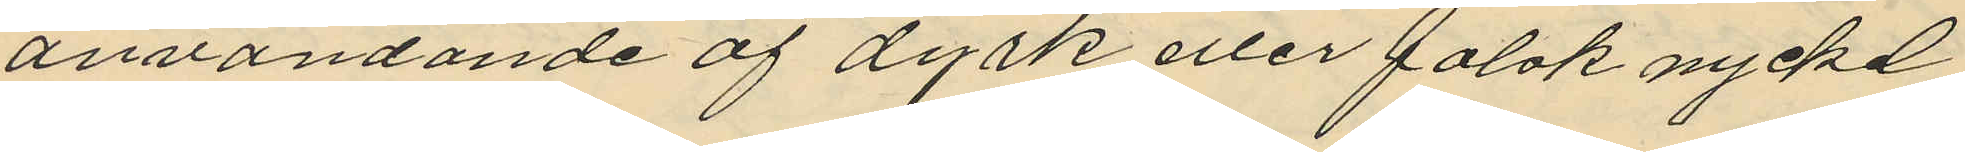användande af dyrk eller falsk nyckel
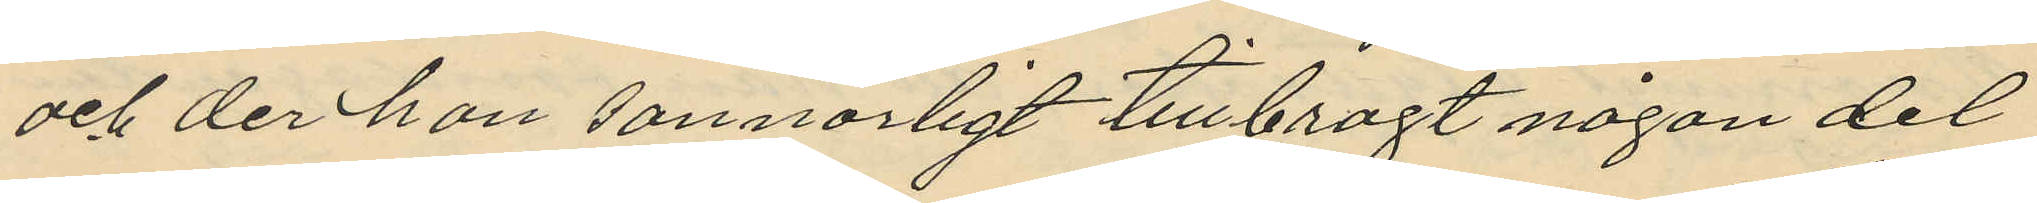och der han sannorligt tillbragt någon del
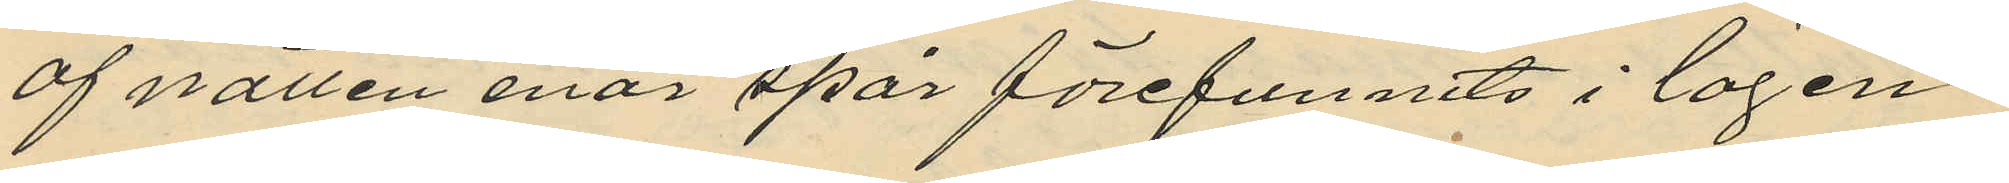af natten enär spår förefunnits i lägen¬
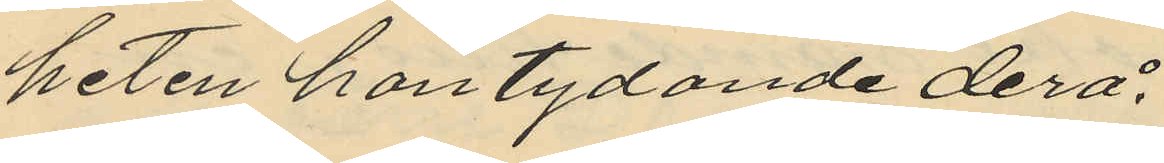heten häntydande derå.
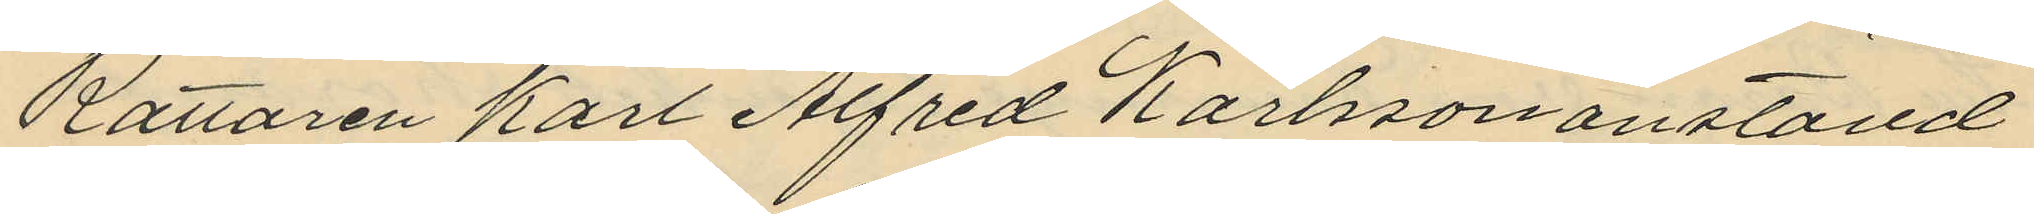Rättaren Karl Alfred Karlsson anställd
